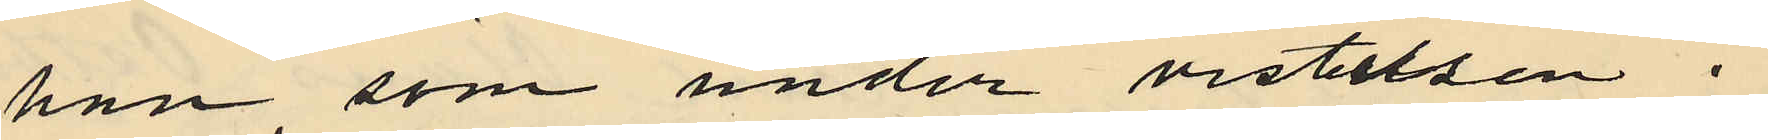han, som under vistelsen i
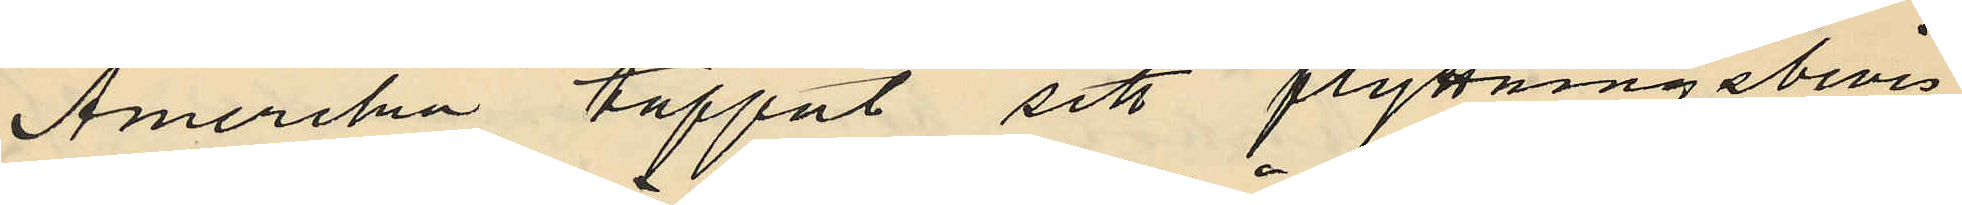Amerika tappat sitt flyttningsbevis
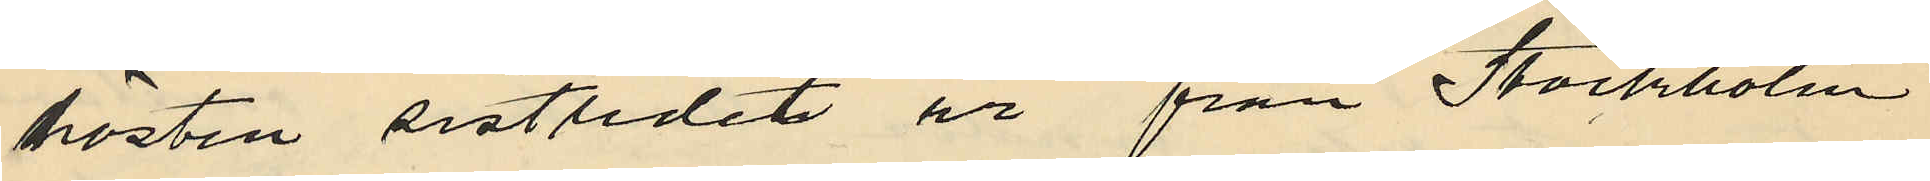hösten sistlidet år från Stockholm
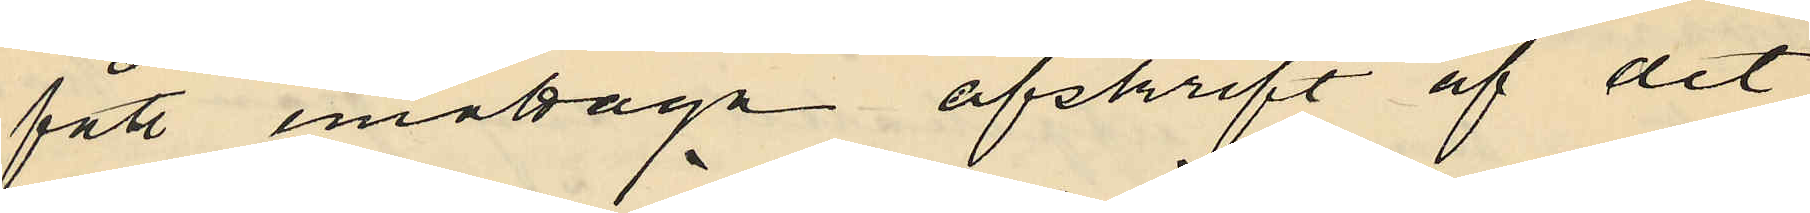fått emottaga afskrift af det
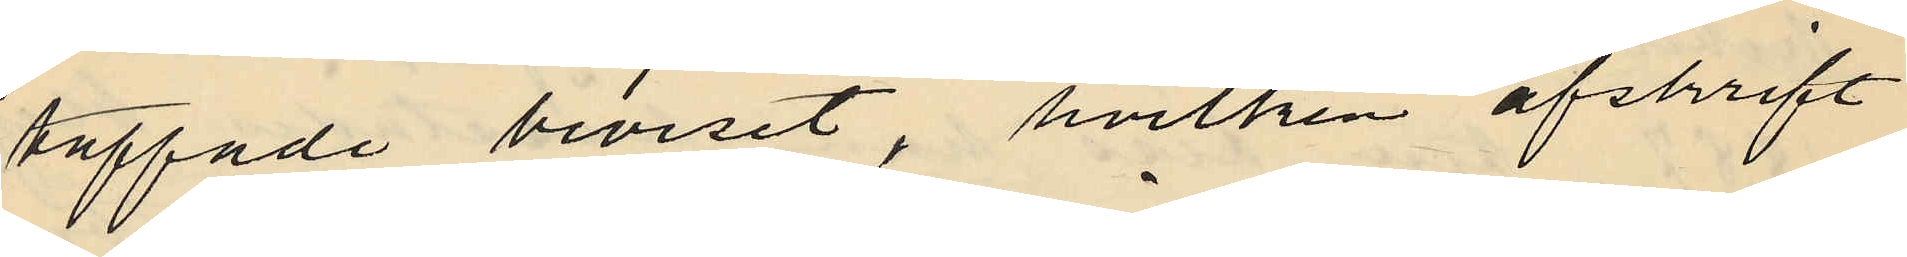tappade beviset, hvilken afskrift
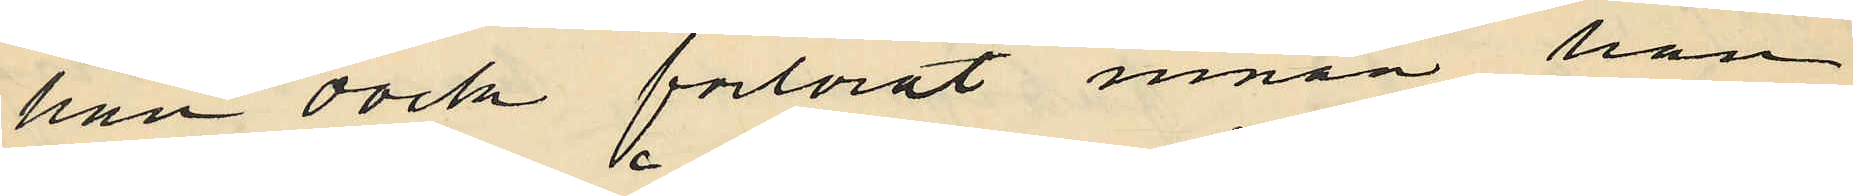han dock förlorat innan han
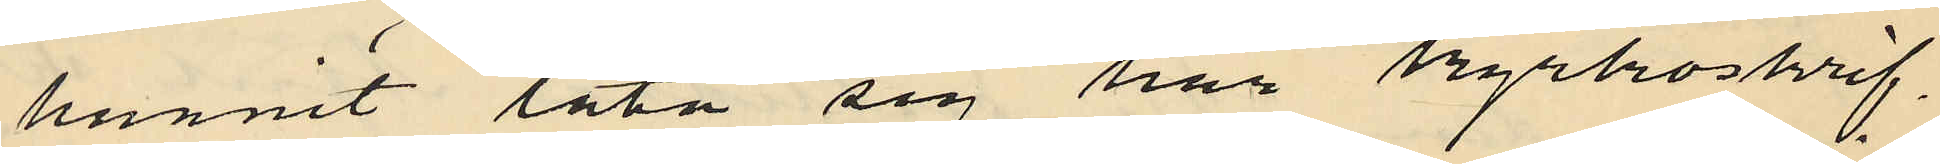hunnit låta sig här kyrkoskrif¬
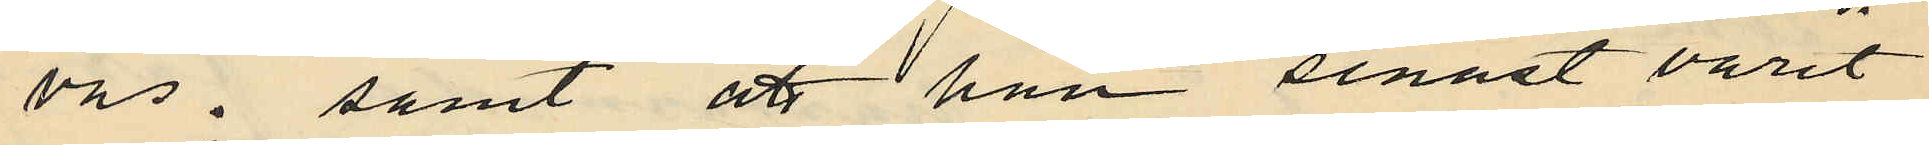vas; samt att han senast varit
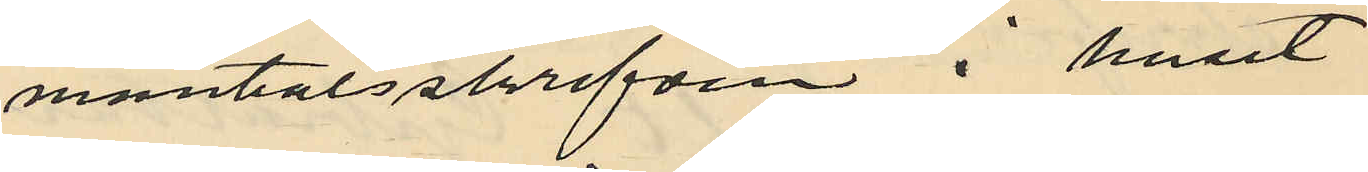mantalsskrifven i huset
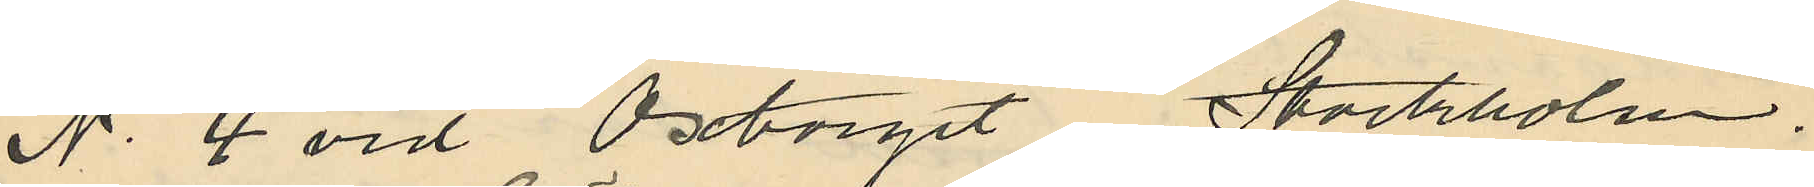No 4 vid Oxtorget Stockholm.
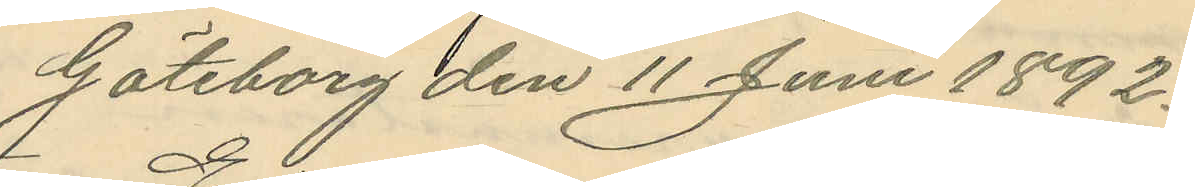Göteborg den 11 Juni 1892.
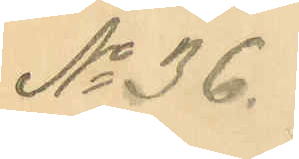No 36.
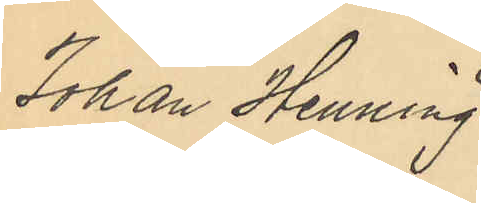Johan Henning
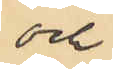och
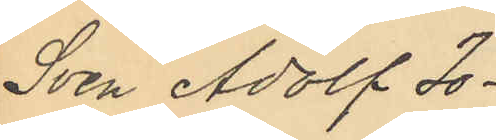Sven Adolf Jo¬
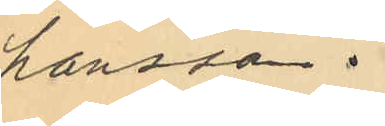hansson.
